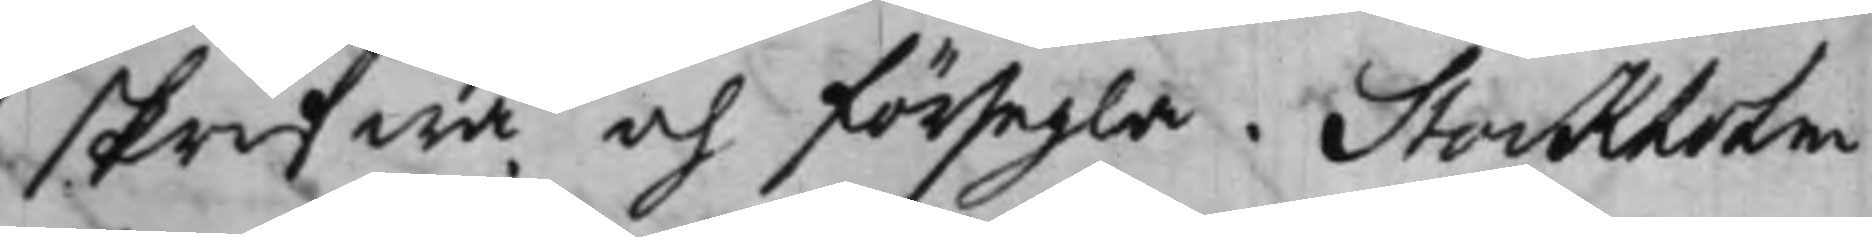skrifwa och försegla. Stockholm
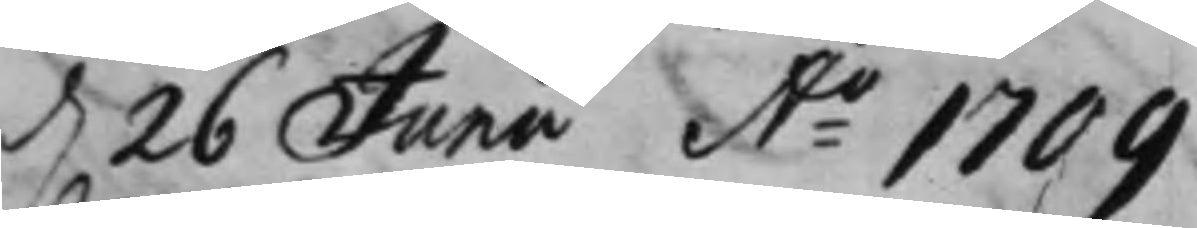d. 26 Junii A:o 1709
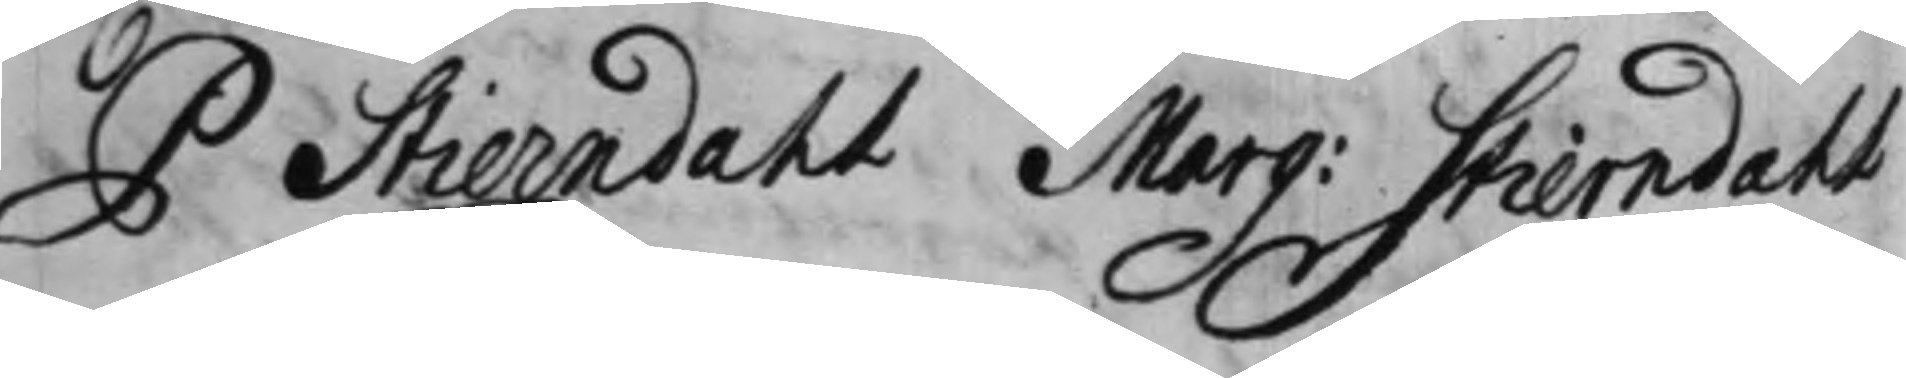P Stierndahl Marg. Stierndahl
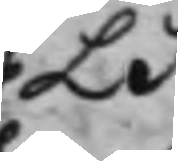LS
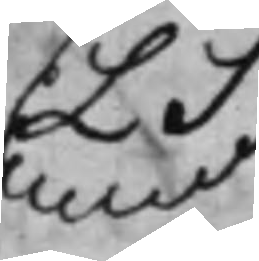LS
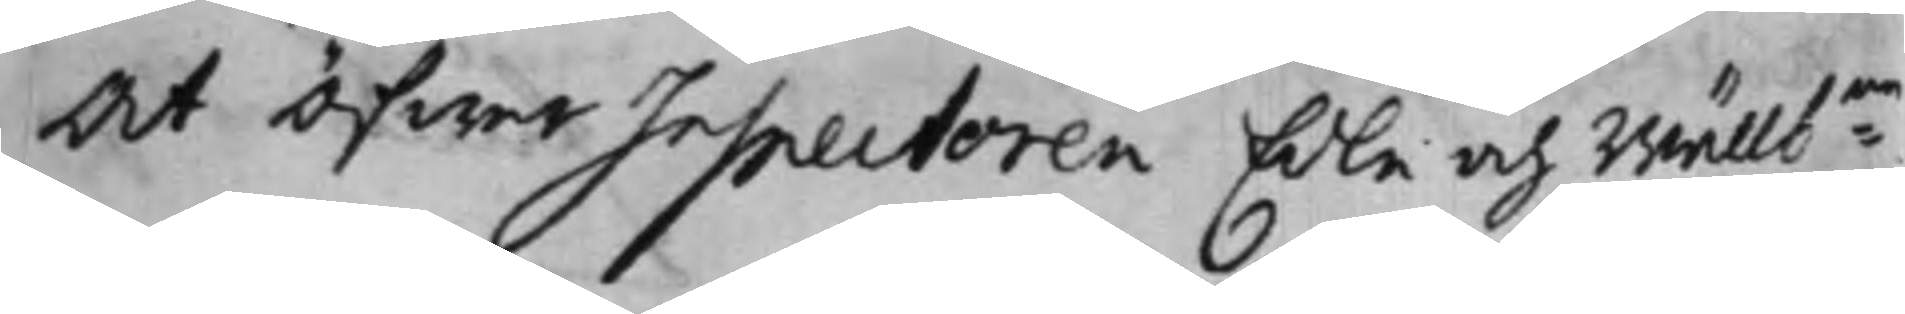At Öfwer Inspectoren Edle och Wällb:ne
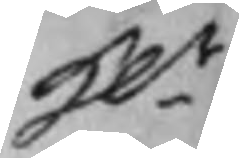H.r
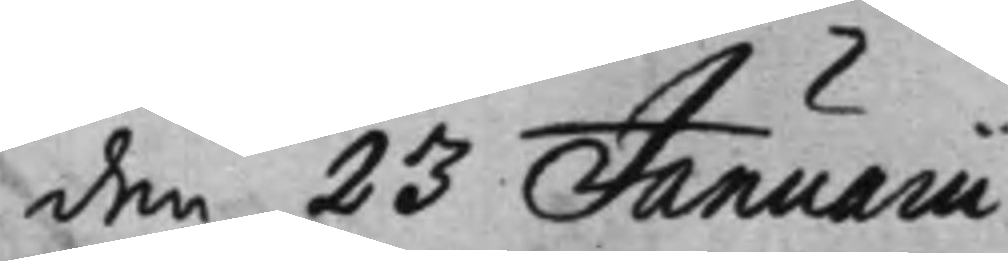den 23 Januarii
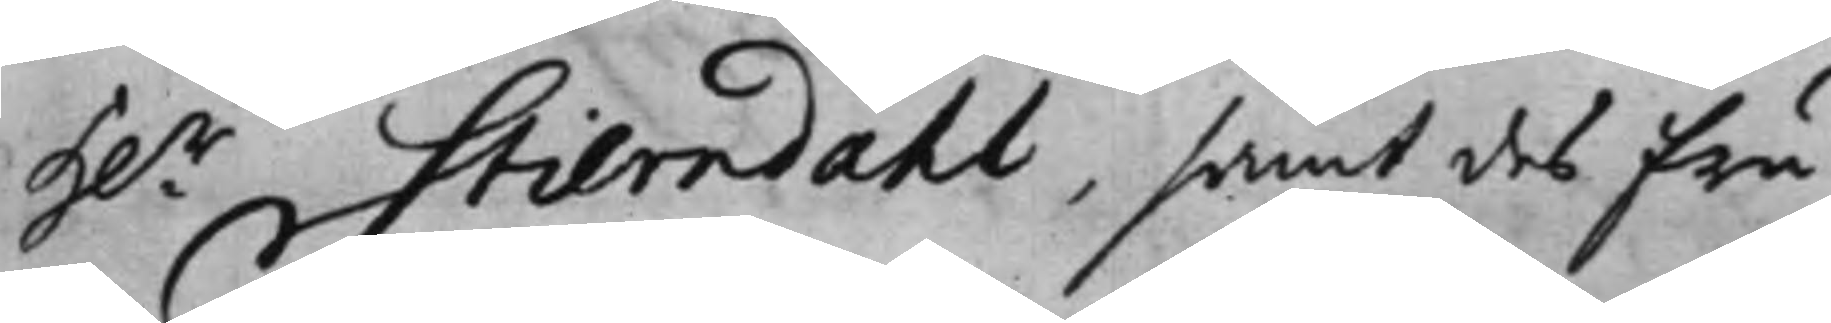H.r Stierndahl, samt des Fru
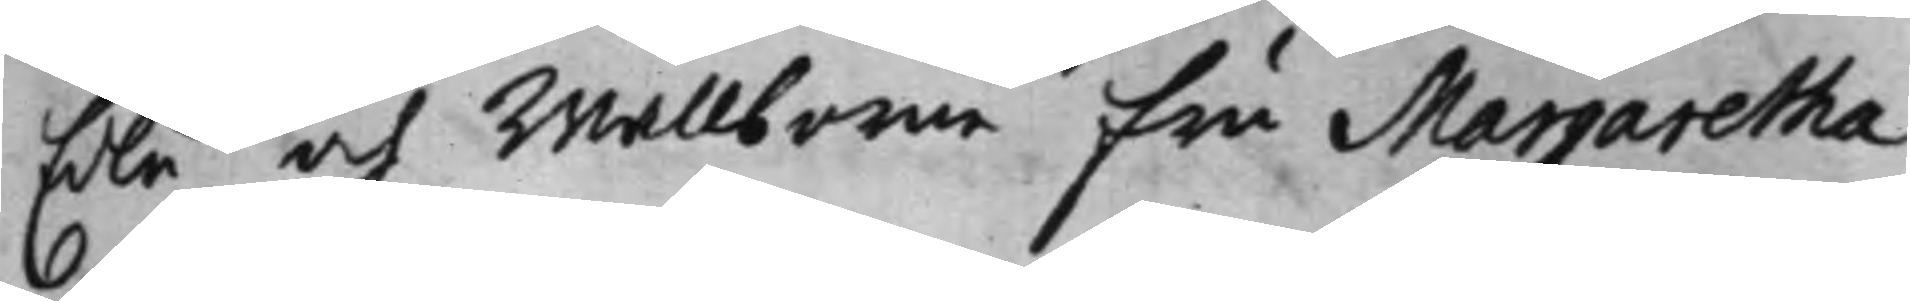Edla och Wällborne Fru Margaretha
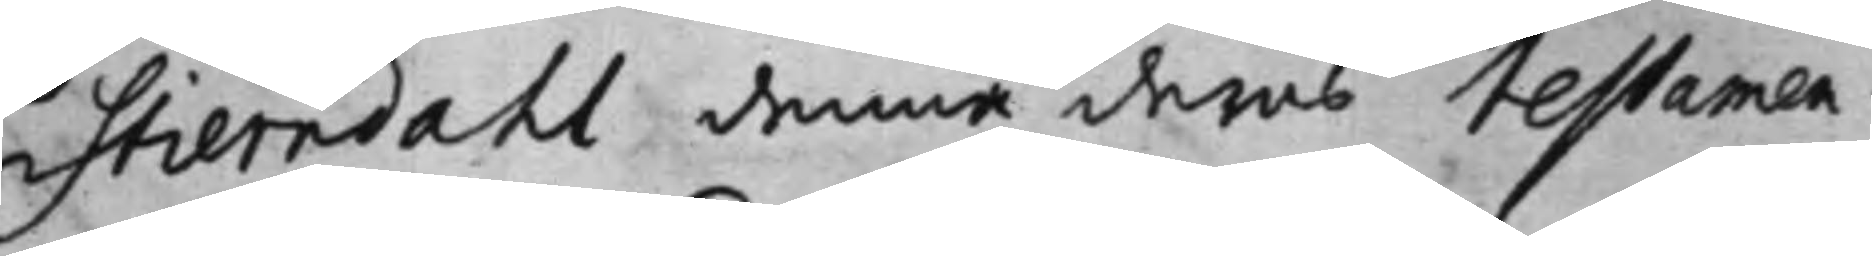Stierndahl denna deras testamen¬
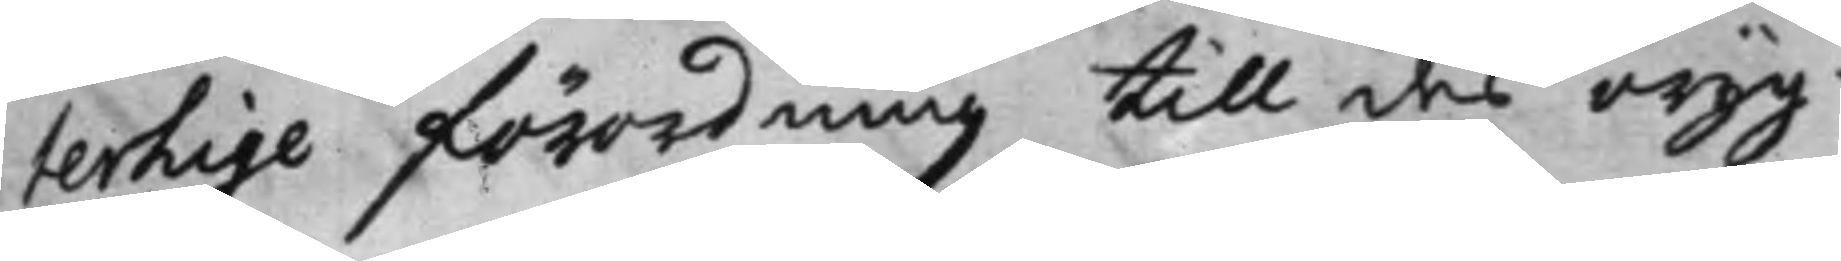terlige förordning till des oryg¬
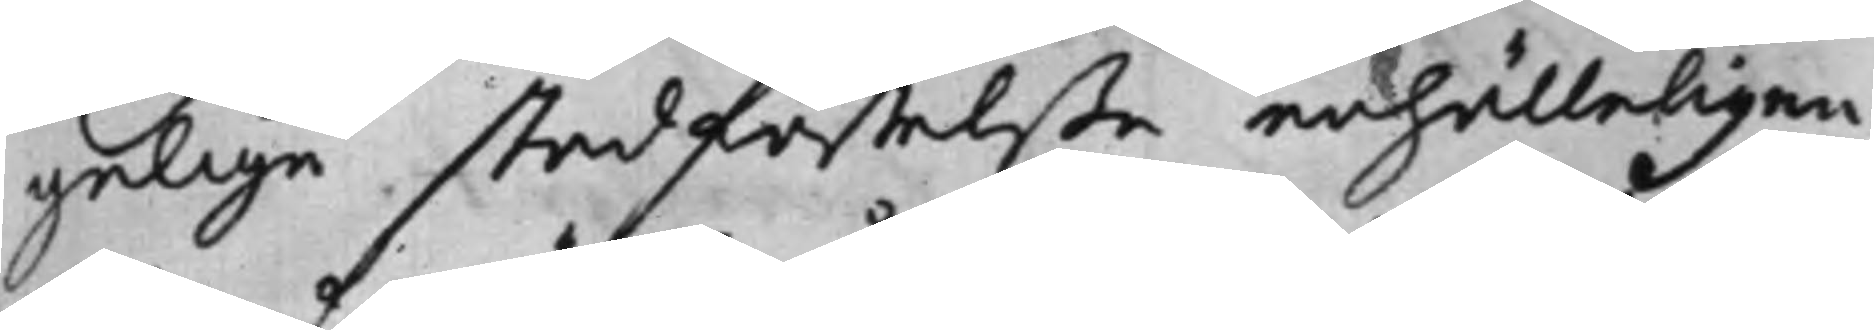gelige stadfästelße enhälleligen
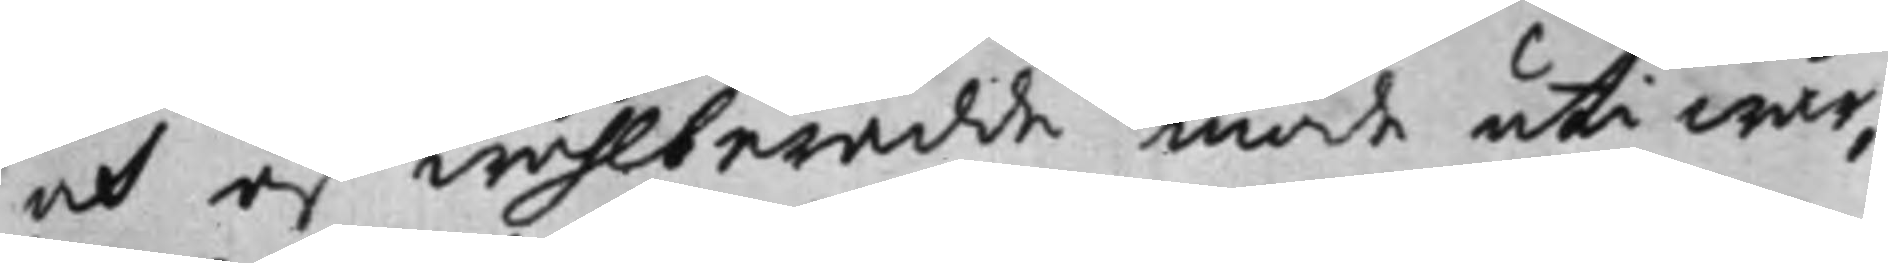och af wählberådde mode uti wår,
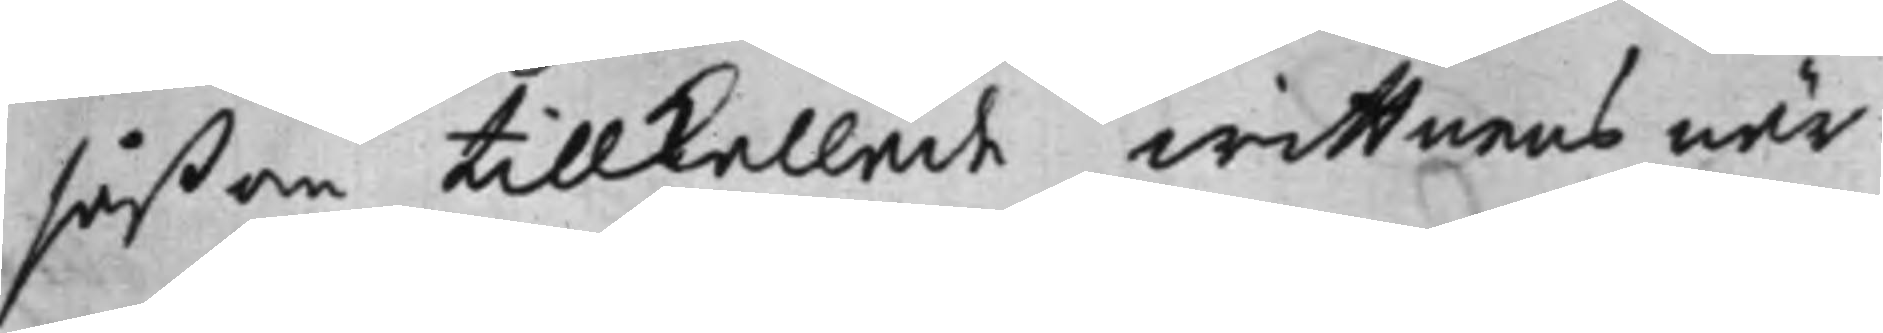såßom tillkallade wittnens när¬
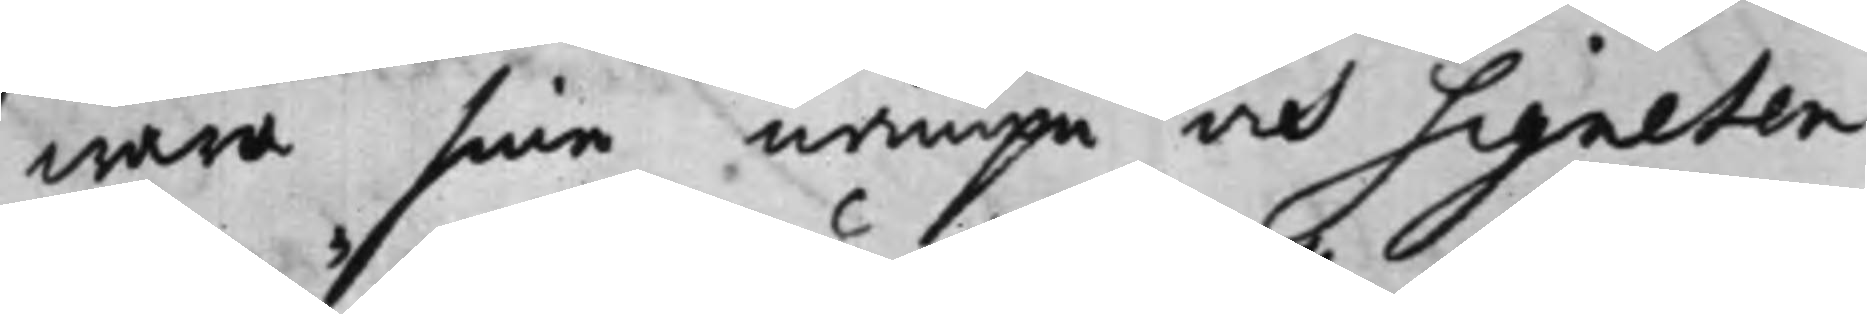waro sine nampn och Signeten
